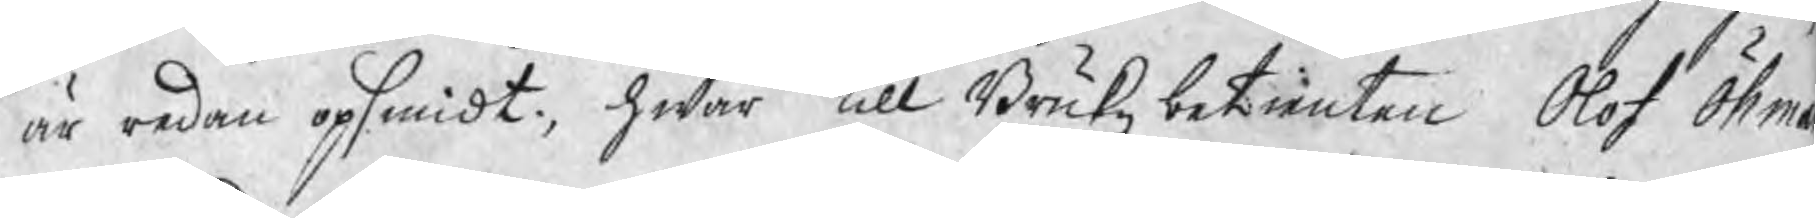är redan opsmidt, hwar till Brukzbetienten Olof Öhma
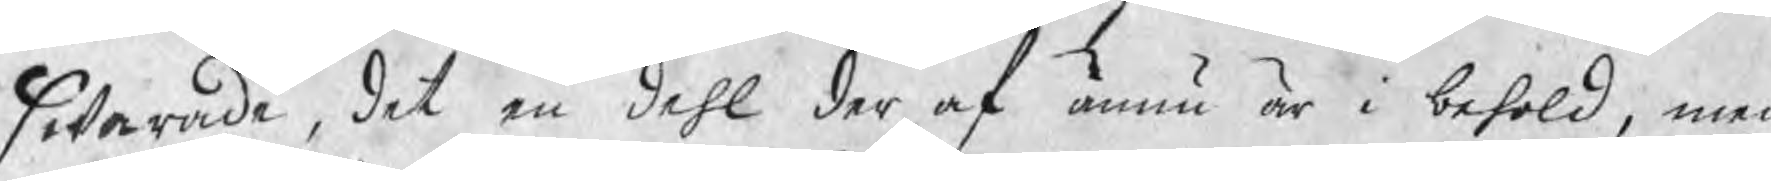swarade, det en dehl der af ännu är i behold, men
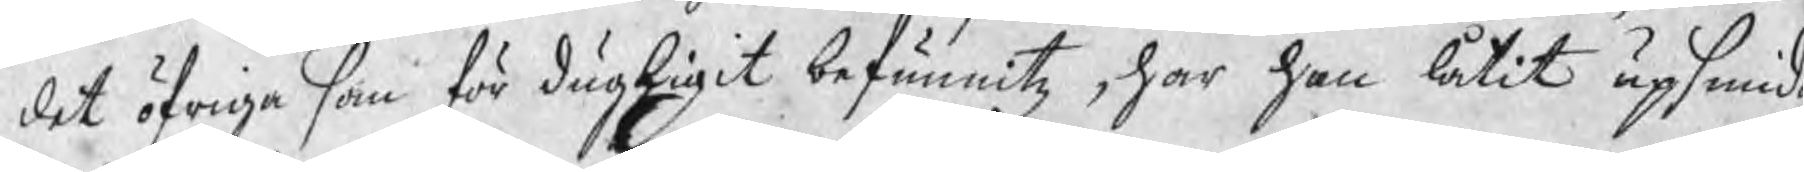det öfriga som för dugligit befunnitz, har han låtit upsmida,
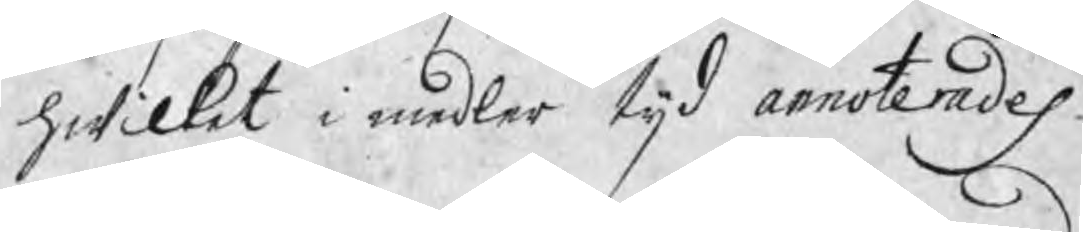hwilket i medler tijd annoterades.
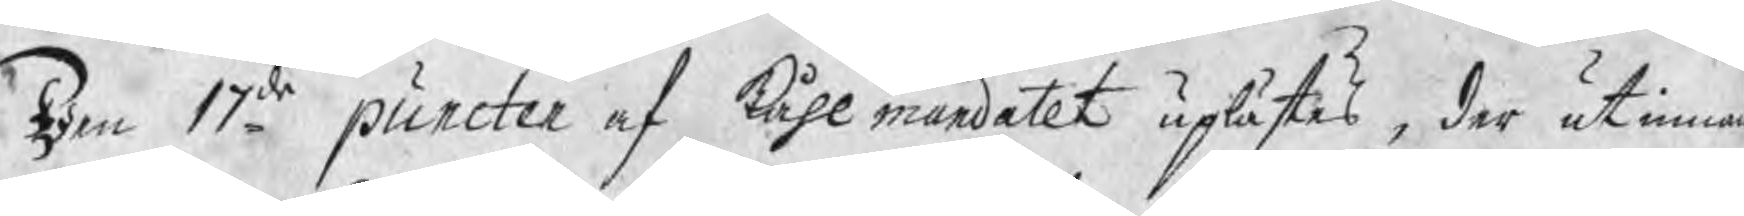Den 17de puncten af kåhlmandatet uplästes, der utinna
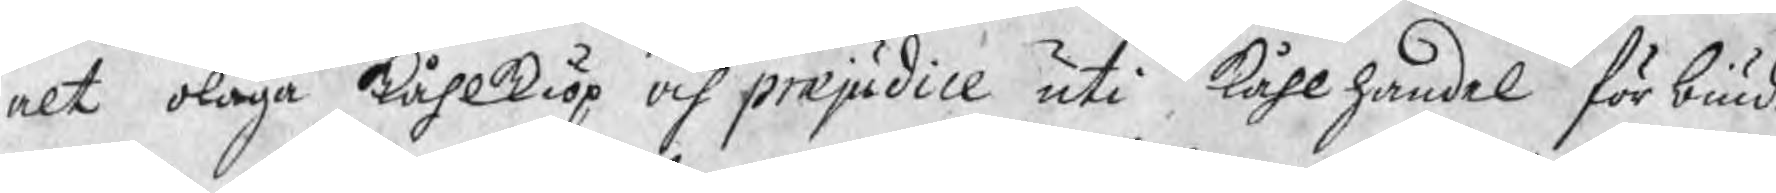alt olaga kåhlkiöp och præjudice uti kåhlhandel förbiud
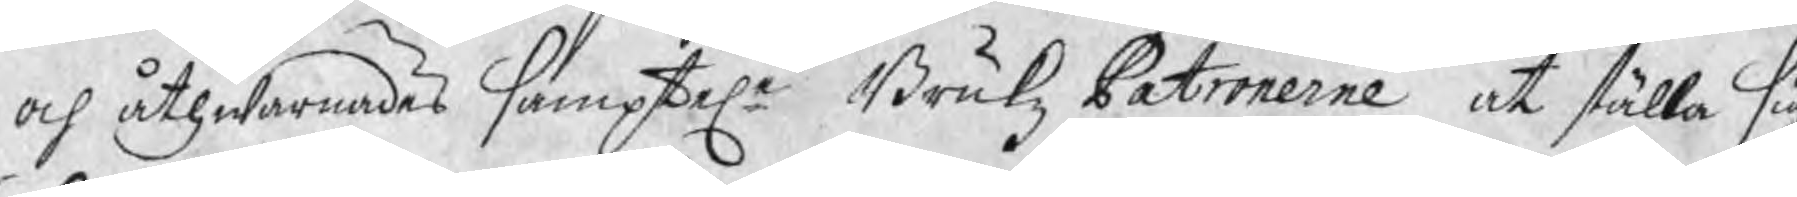och åthwarnades samptele Brukz Patronerne at ställa sig
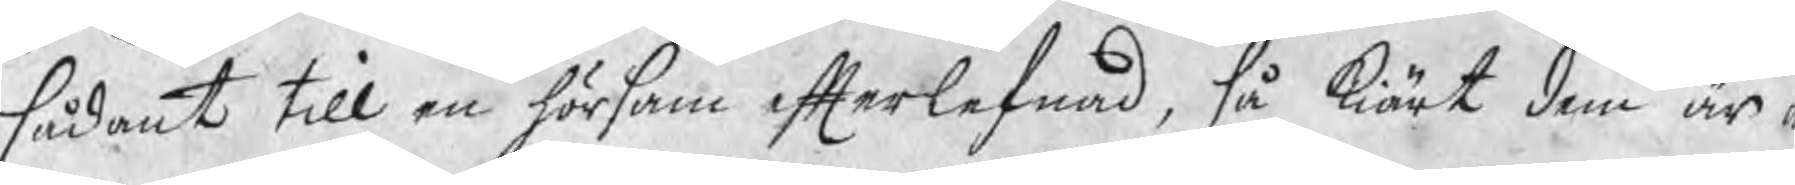sådant till en hörsam efterlefnad, så kiärt dem är a
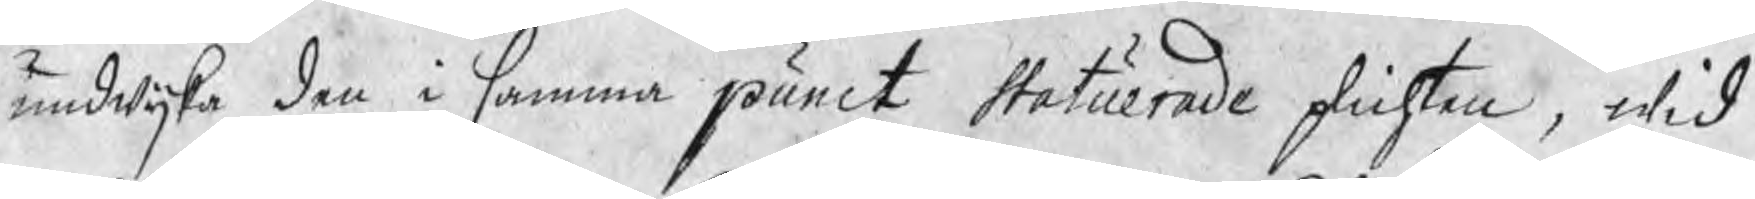undwijka den i samma punct statuerade plichten, wid
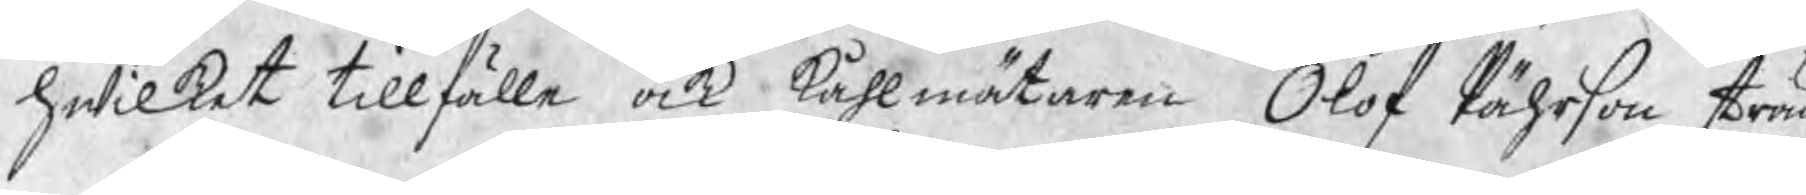hwilket tillfälle ock kåhlmätaren Olof Pährson strän
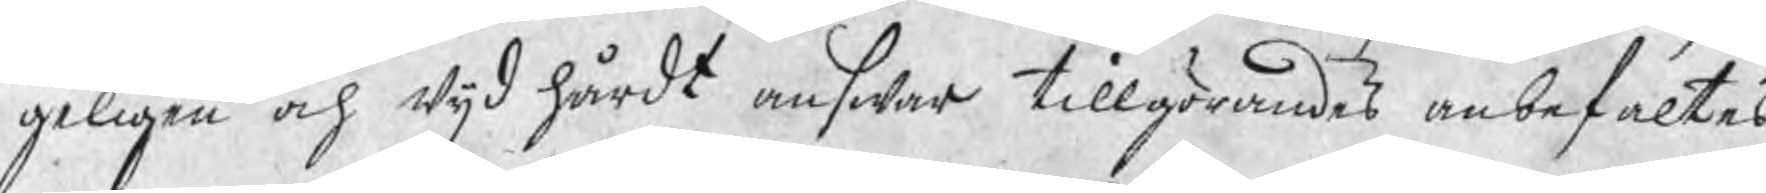geligen och wijd hårdt answar tillgörandes anbefaltes
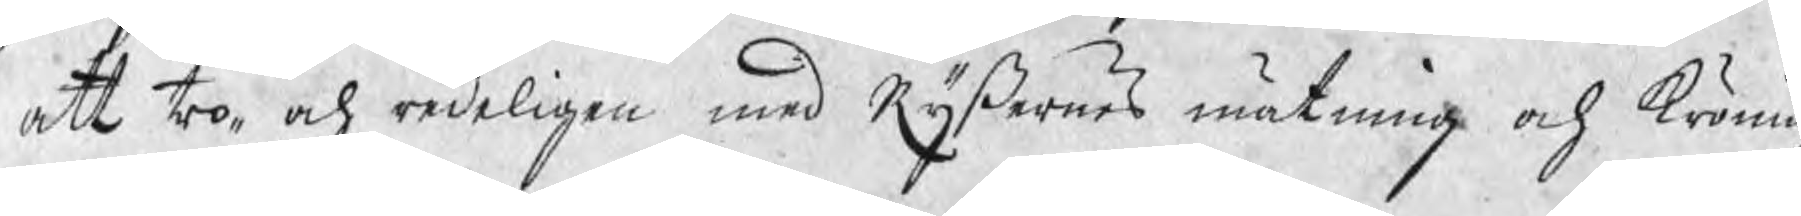att tro¬ och redeligen med Ryßernes mätning och kröning
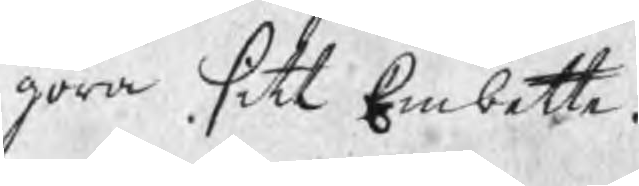göra sitt Embette.
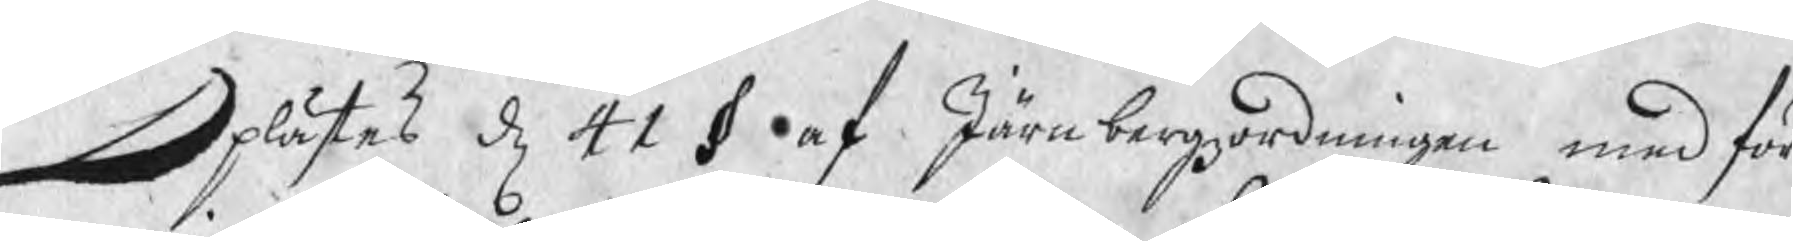Oplästes d 41 § af Järnbergzordningen med för¬
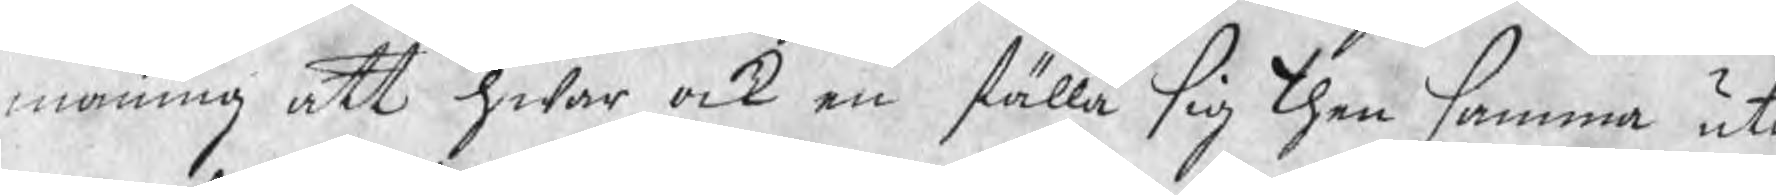maning att hwar ock en ställa sig then samma uti
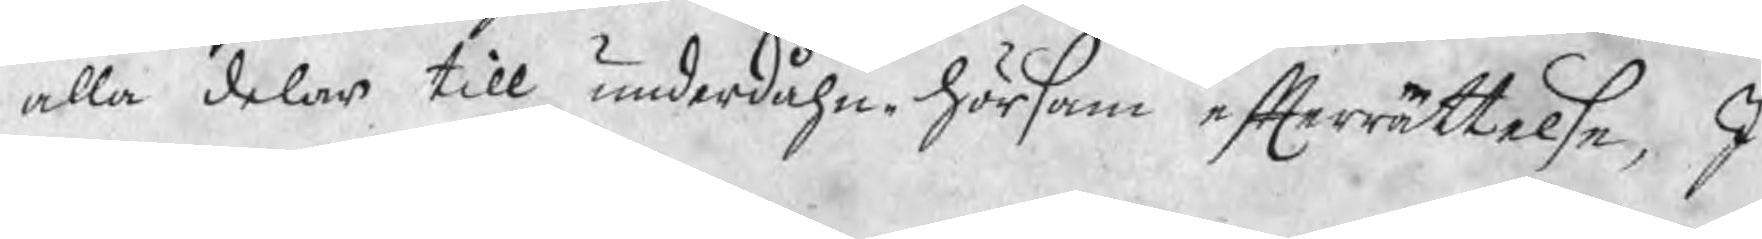alla delar till underdåhn. hörsam efterrättelse, I
